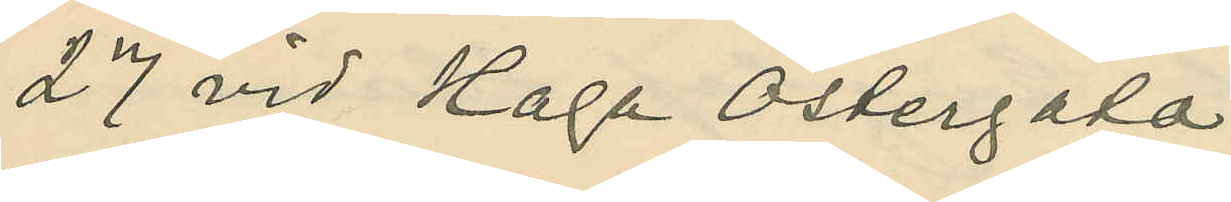27 vid Haga Östergata.
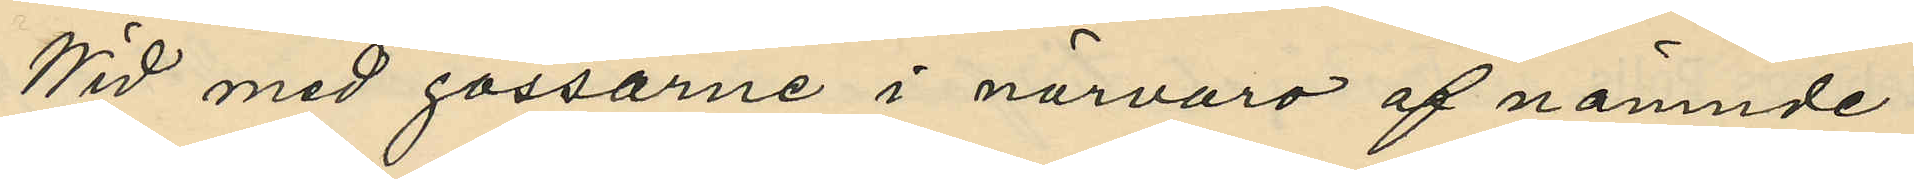Wid med gossarne i närvaro af nämnde
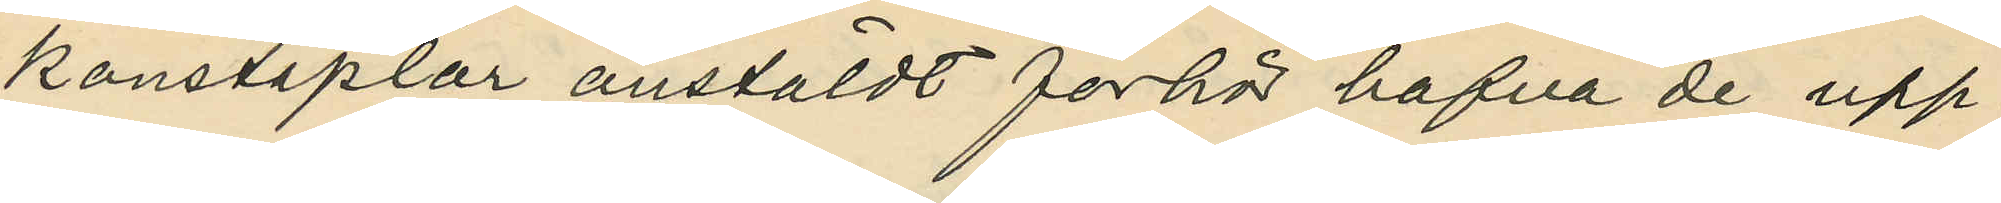konstaplar anstäldt förhör hafva de upp¬
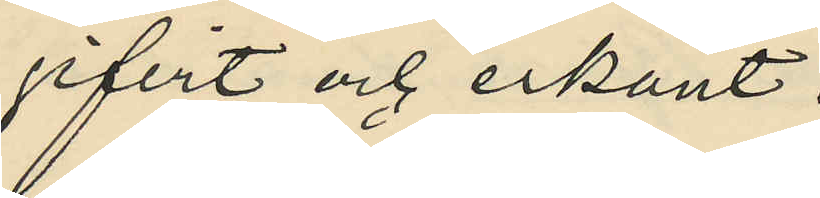gifvit och erkänt:
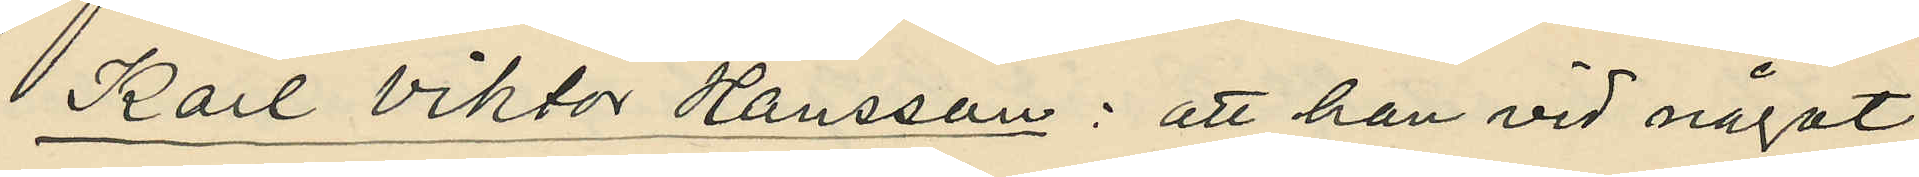Karl Viktor Hansson: att han vid något
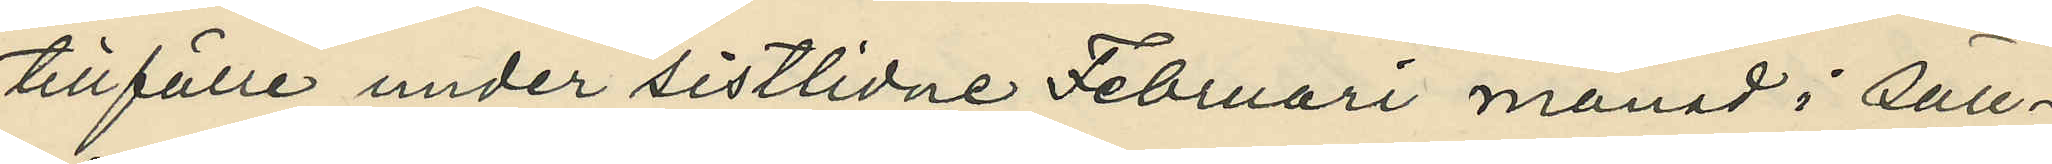tillfälle under sistlidne Februari månad i säll¬
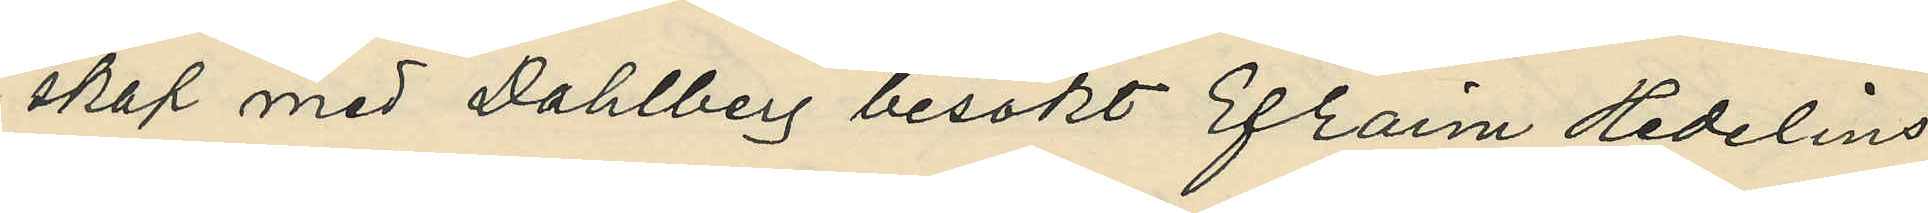skap med Dahlberg besökt Efraim Hedelins
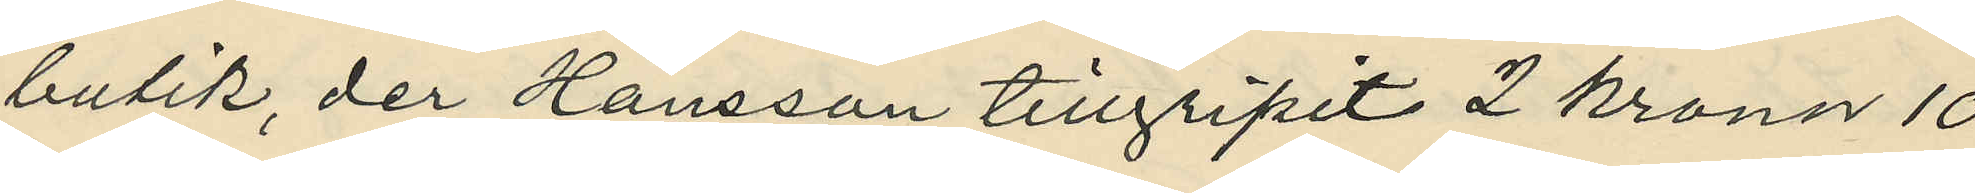butik, der Hansson tillgripit 2 Kronor 10
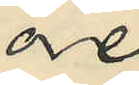öre;
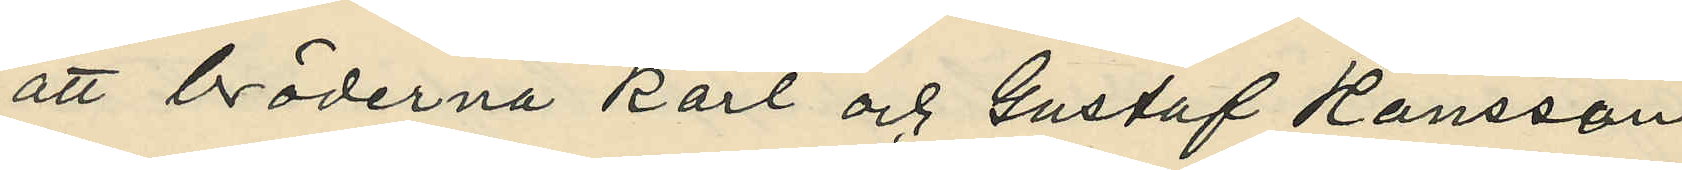att bröderna Karl och Gustaf Hansson
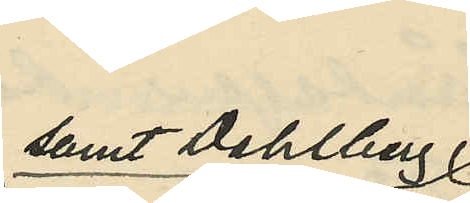samt Dahlberg
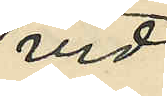vid
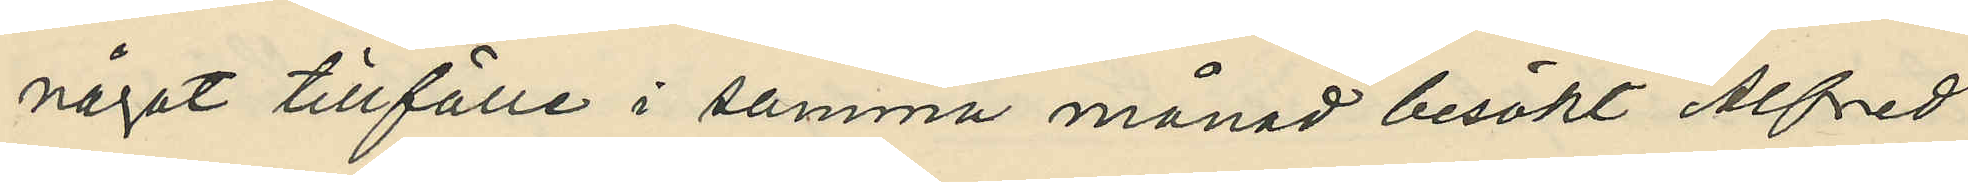något tillfälle i samma månad besökt Alfred
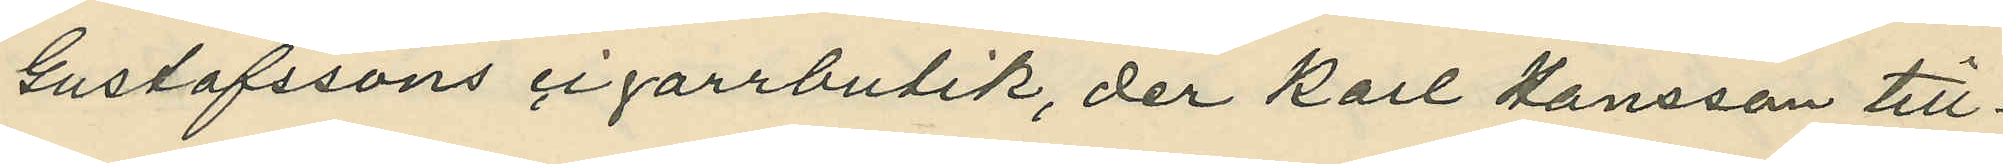Gustafssons cigarrbutik, der Karl Hansson till¬
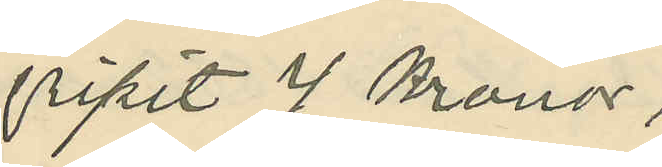gripit 4 Kronor;
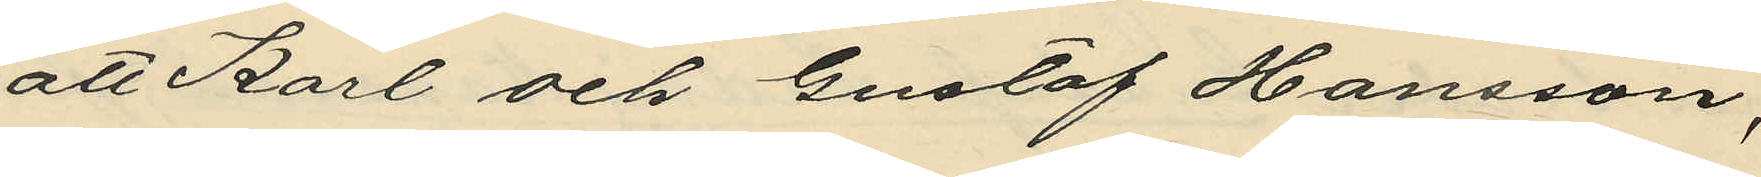att Karl och Gustaf Hansson,
